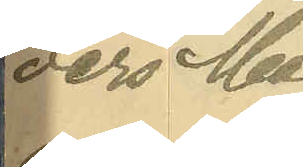ders Mag¬
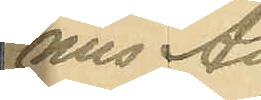nus An¬
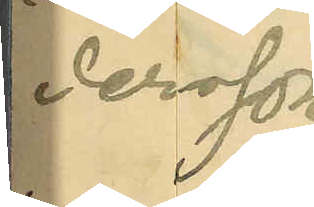dersson
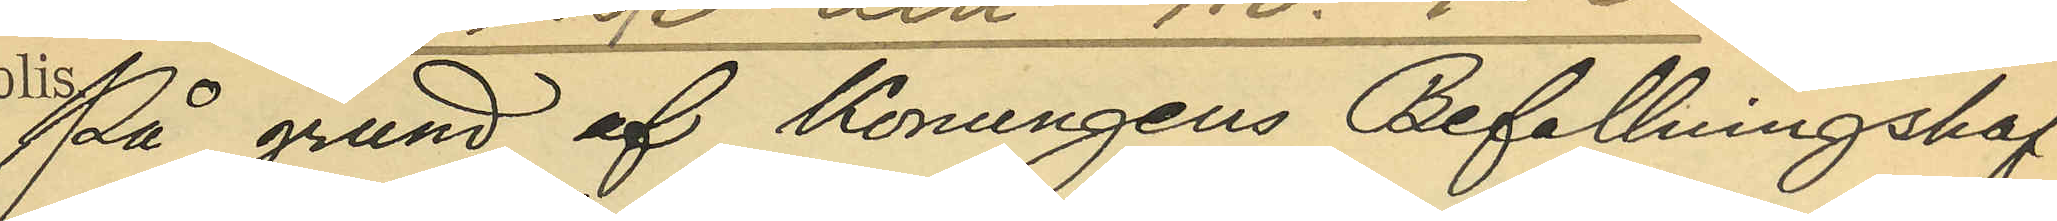På grund af Konungens Befallningshaf¬
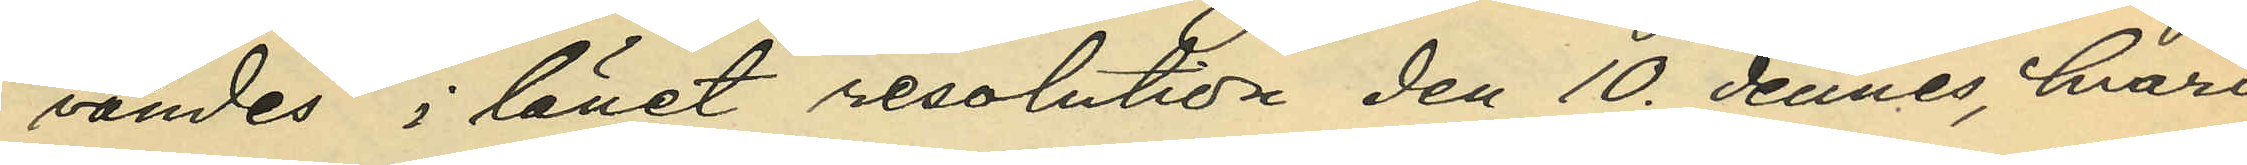vandes i länet resolution den 10 dennes, hvari¬
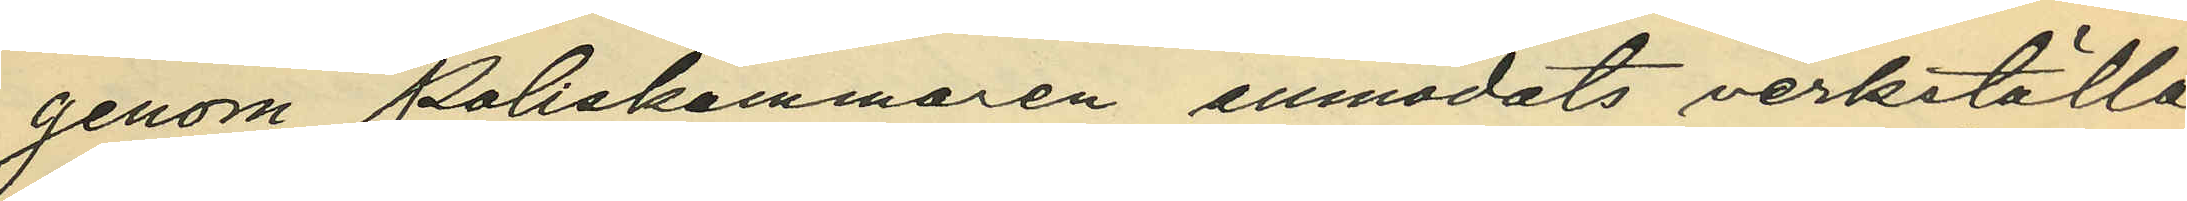genom Poliskammaren anmodats verkställa
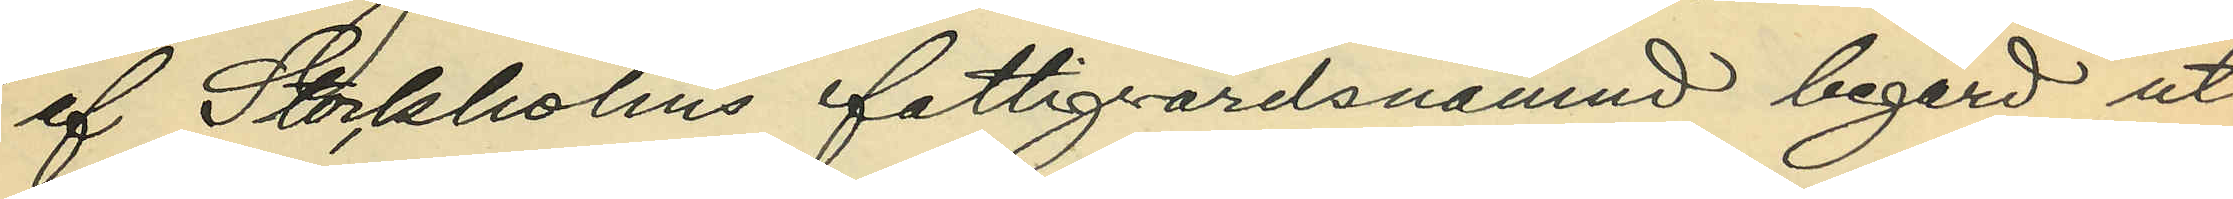af Stockholms fattigvårdsnämnd begärd ut¬
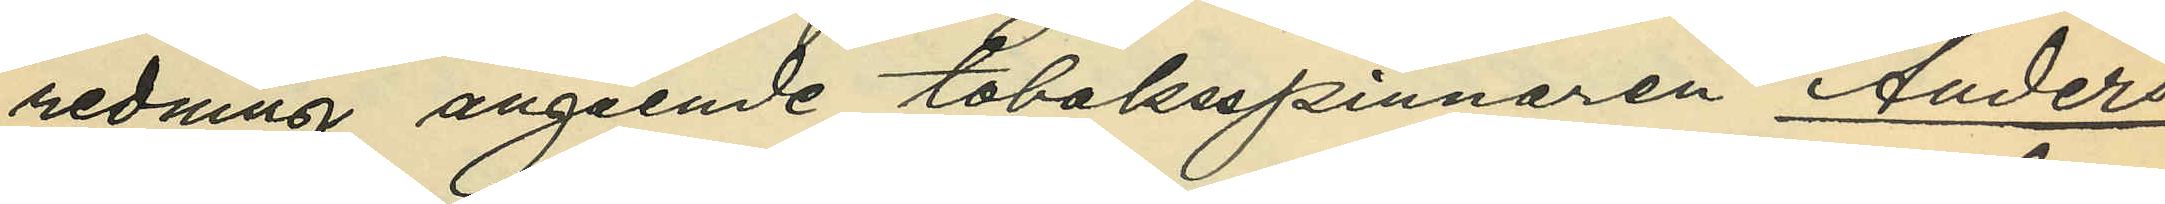redning angående tobaksspinnaren Anders
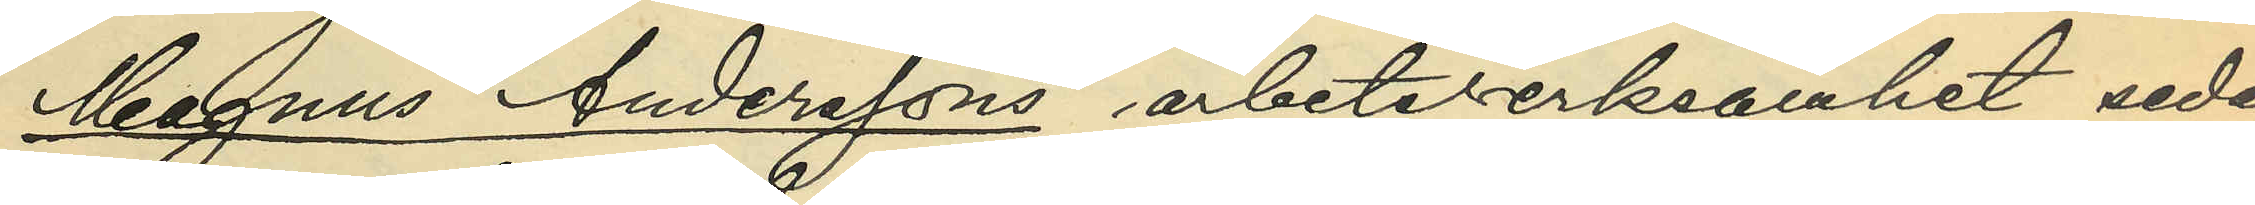Magnus Anderssons, arbetsverksamhet sedan
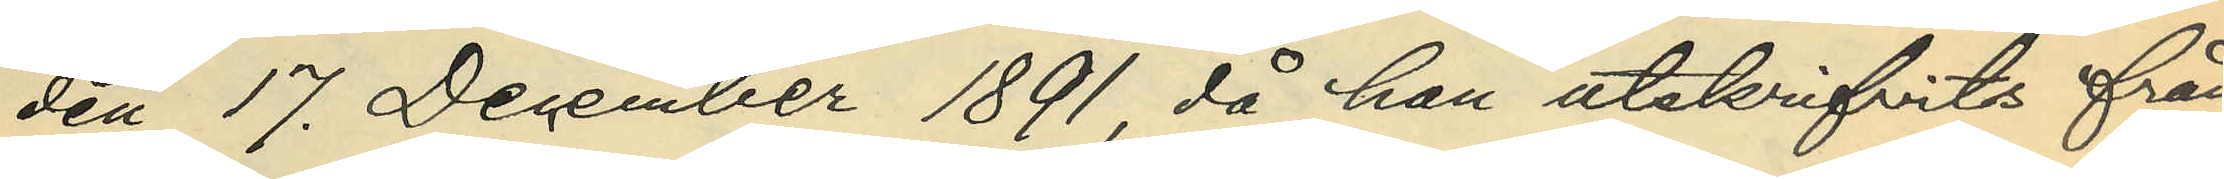den 17. December 1891, då han utskrifvits från
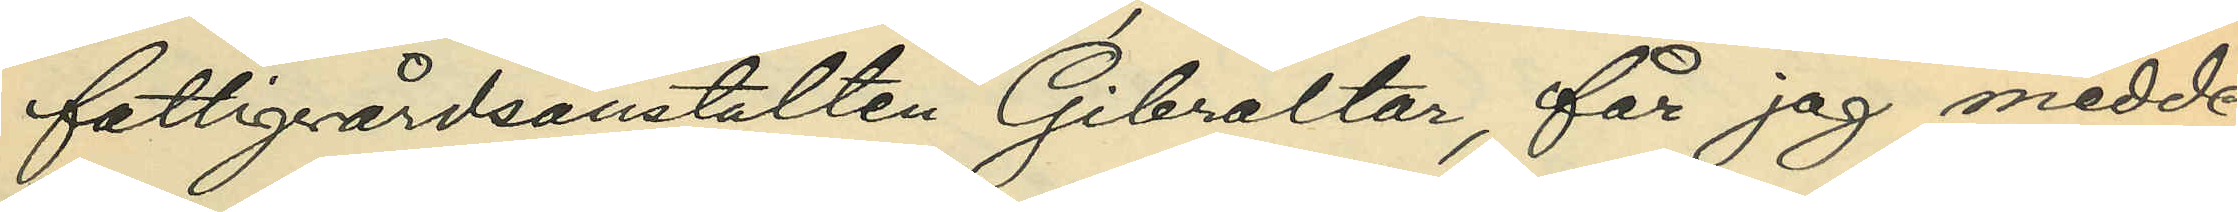fattigvårdsanstalten Gibraltar, får jag medde¬
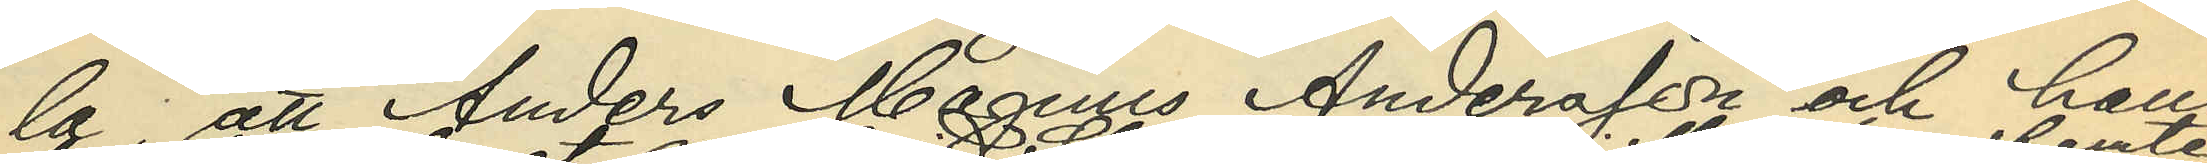la, att Anders Magnus Andersson och hans
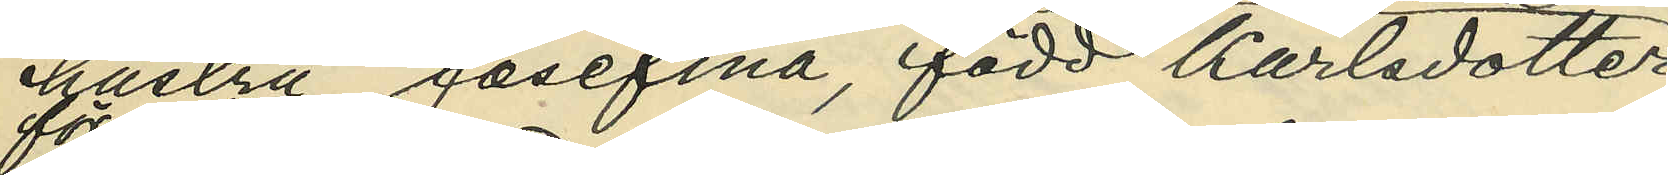hustru Josefina, född Karlsdotter,
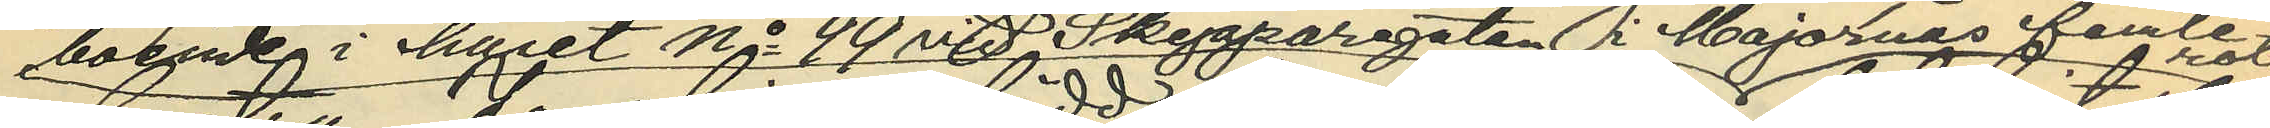boende i huset No 99 vid Skepparegatan i Majornas femte rote
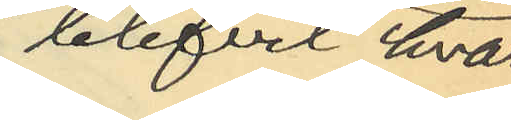blifvit hvar
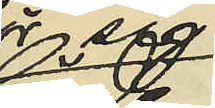för sig
